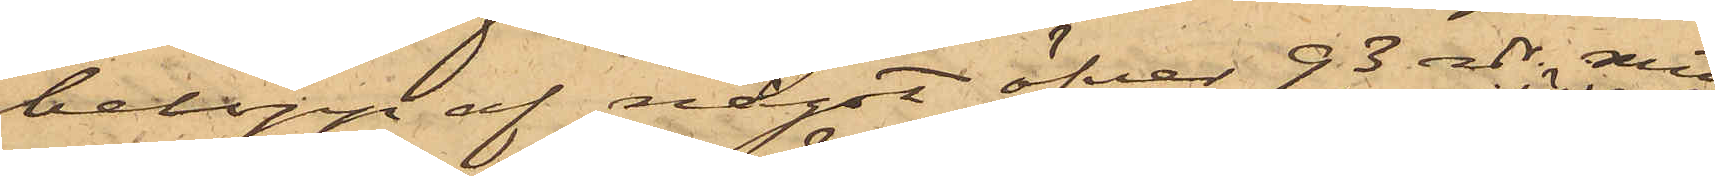belopp af något öfver 93 rdr. samt
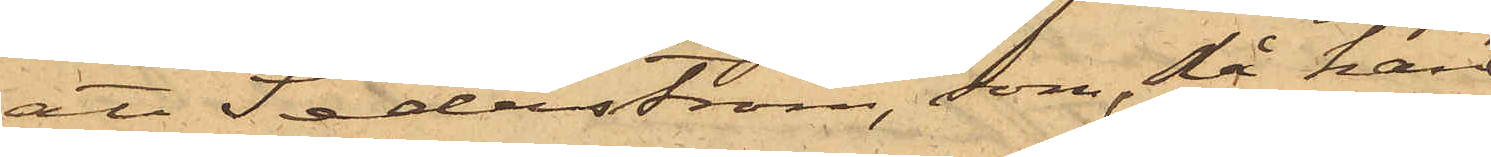att Sederström, som, då han
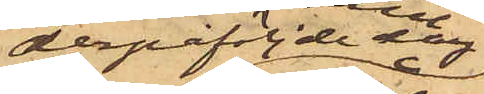derpåföljde dag
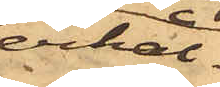erhål¬
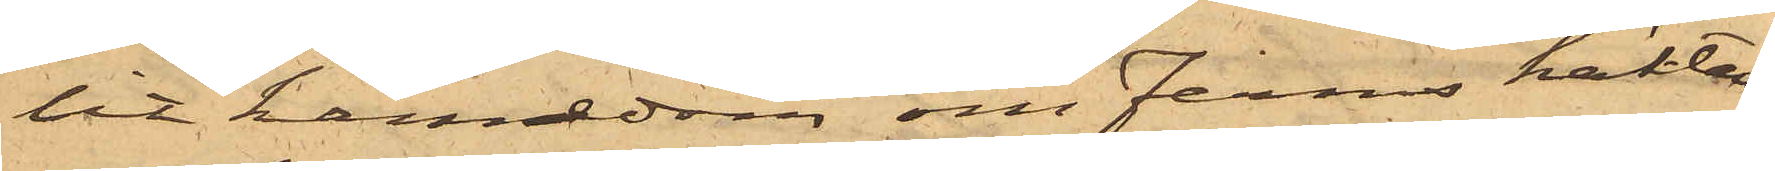lit kännedom om Ferms häktan¬
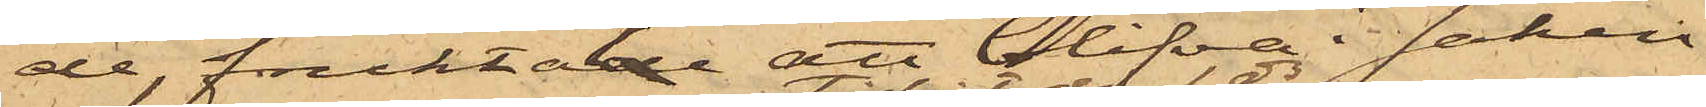de, fruktatde att blifva i saken
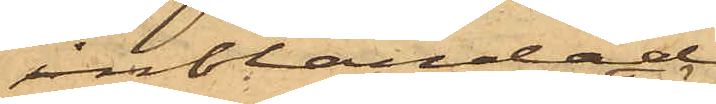inblandad,
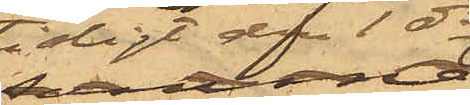tidigt den1 ds
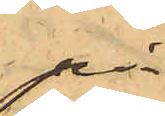på
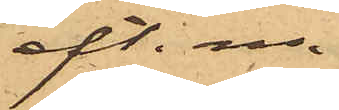eft. m.
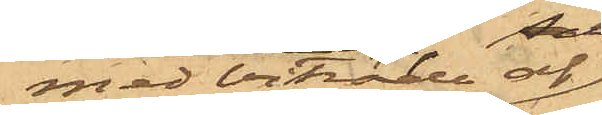med biträde af
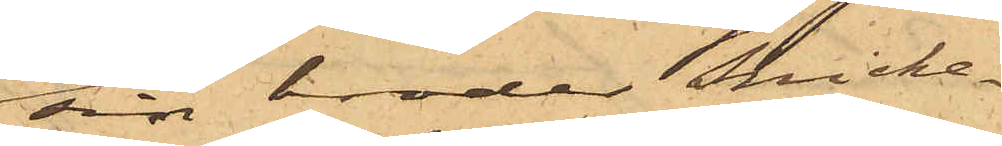sin broder Snicke¬
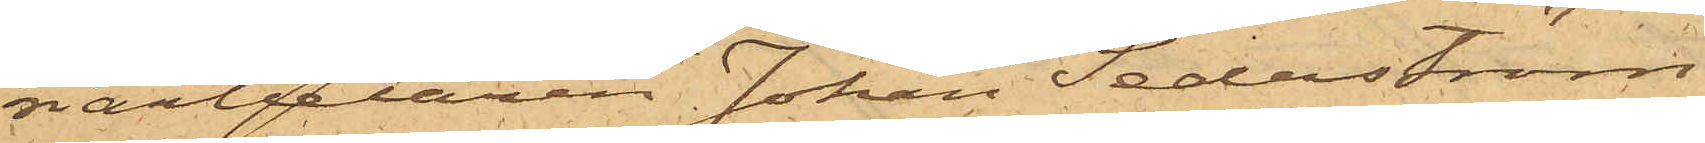riarbetaren Johan Sederström
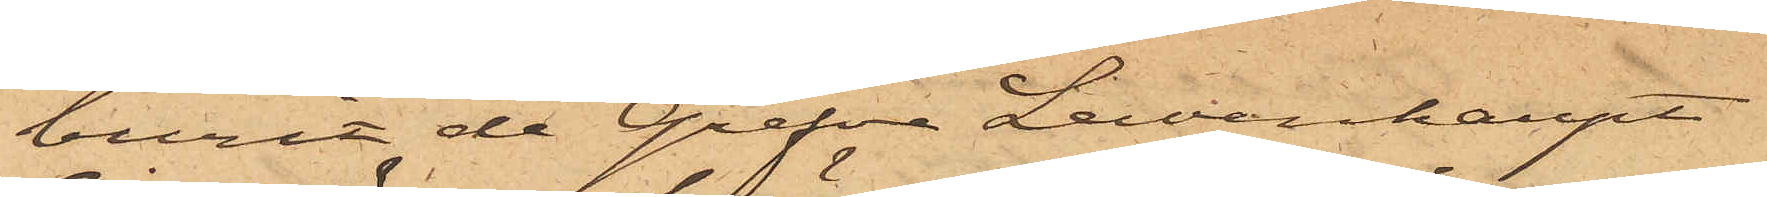burit de Grefve Lewenhaupt
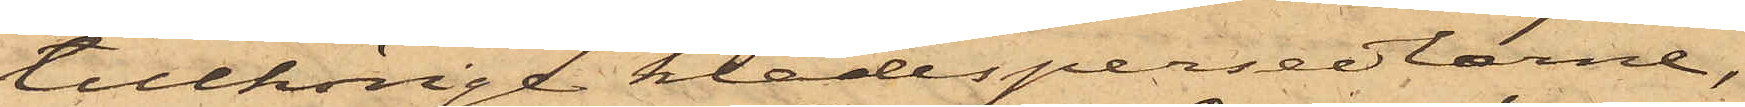tillhörige klädespersedlarne,
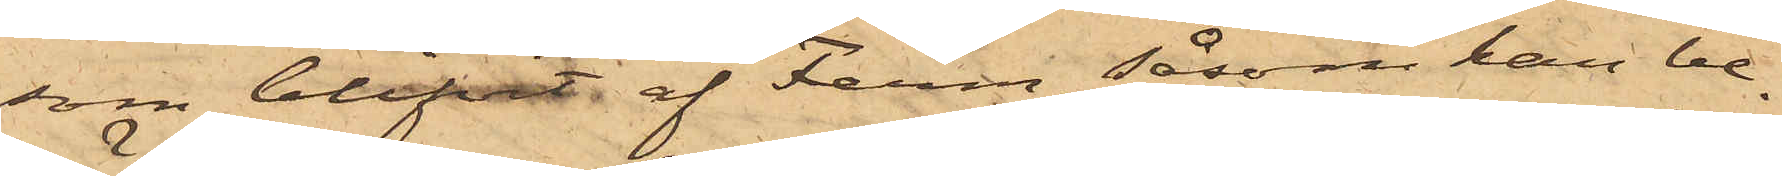som blifvit af Ferm, såsom han be¬
